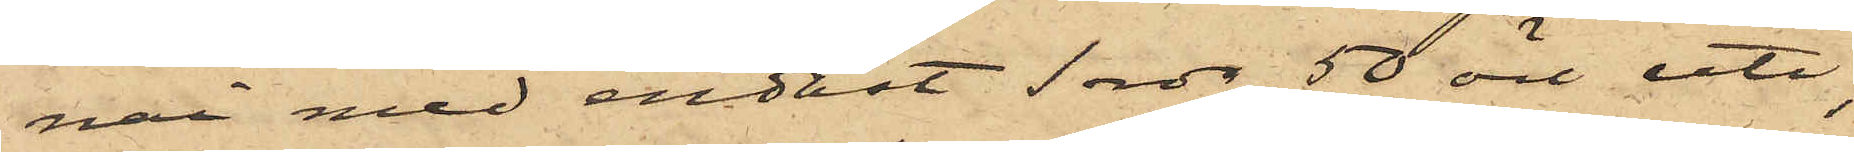nai med endast 1 rdr 50 öre uti;
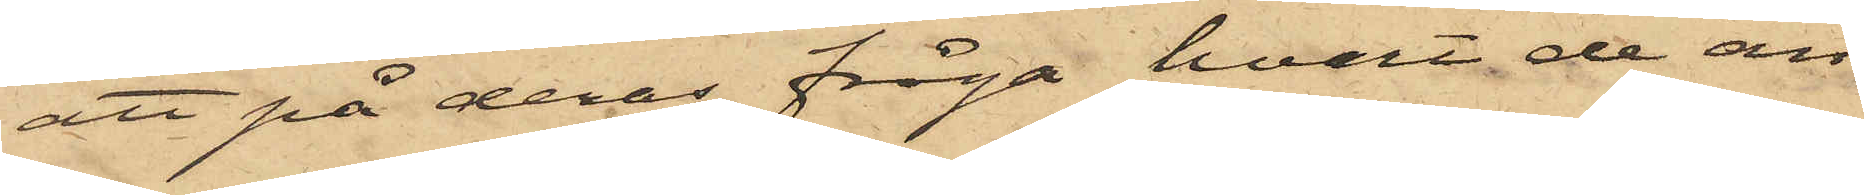att på deras fråga hvart de an¬
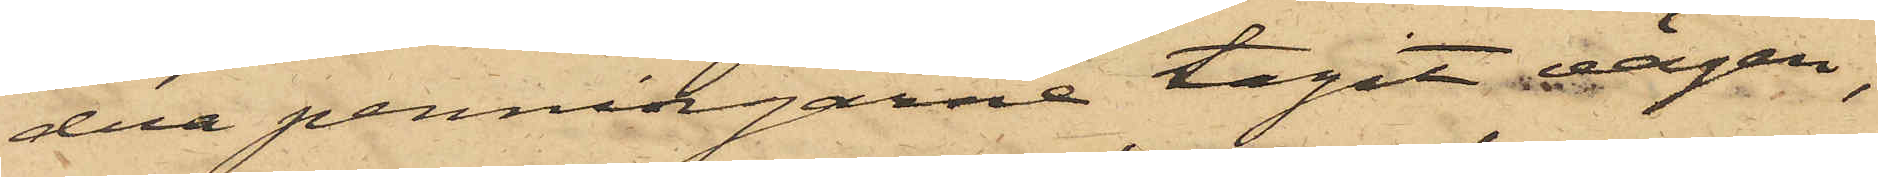dra penningarne tagit vägen,
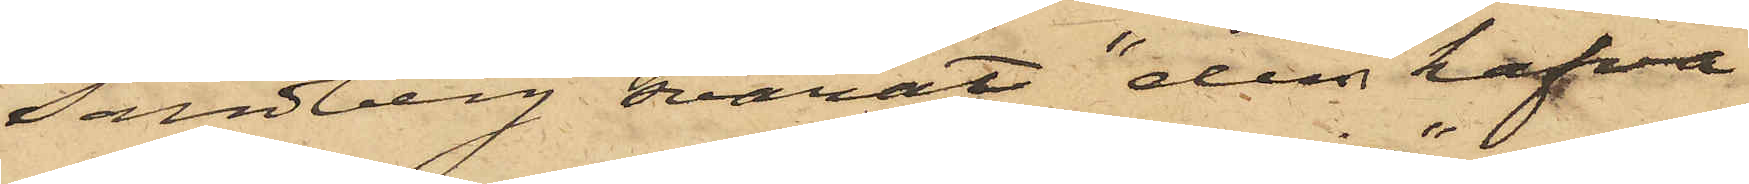Sandberg svarat "dem hafva
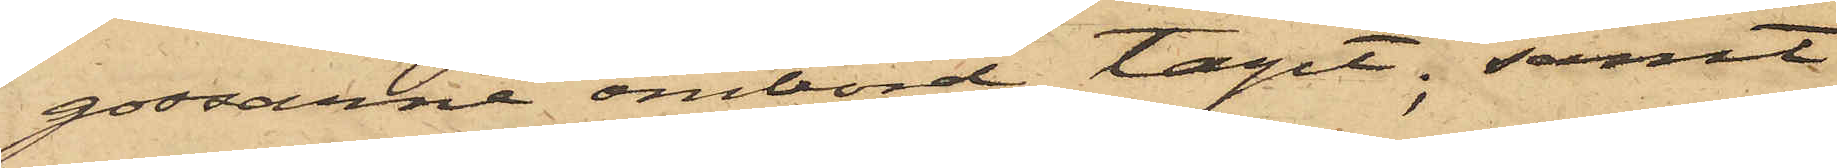gossarne ombord tagit"; samt
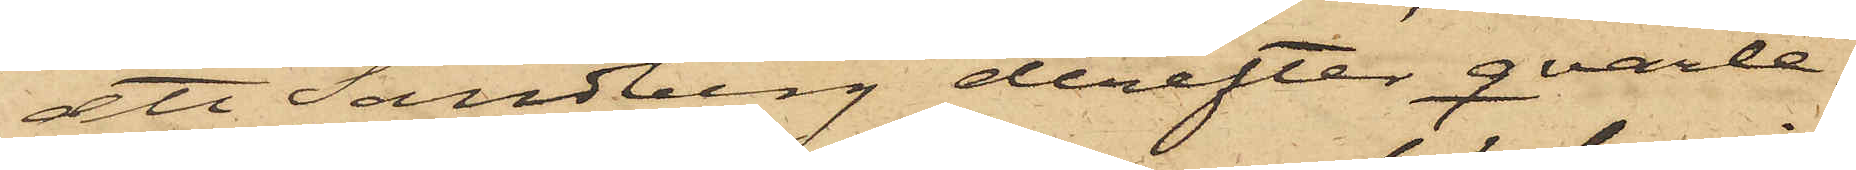att Sandberg derefter qvarle¬
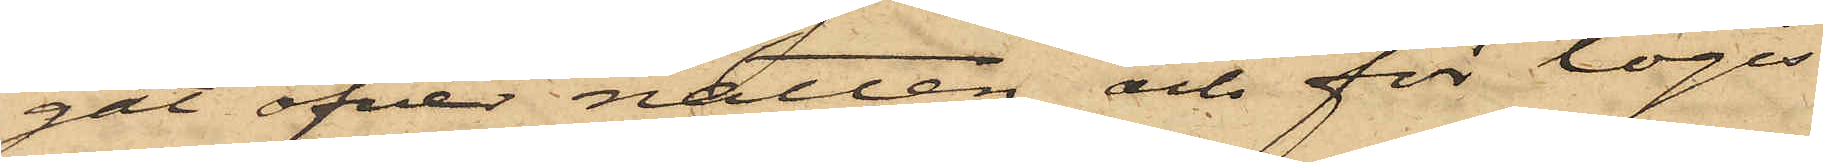gat öfver natten och för logis
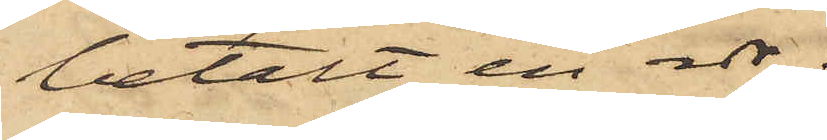betalt en rdr.
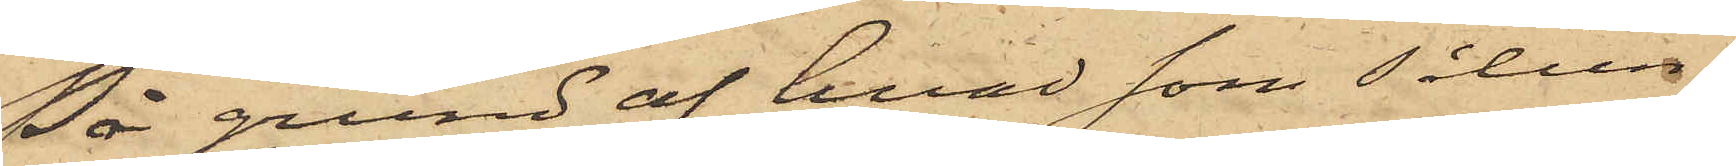På grund af hvad som sålun¬
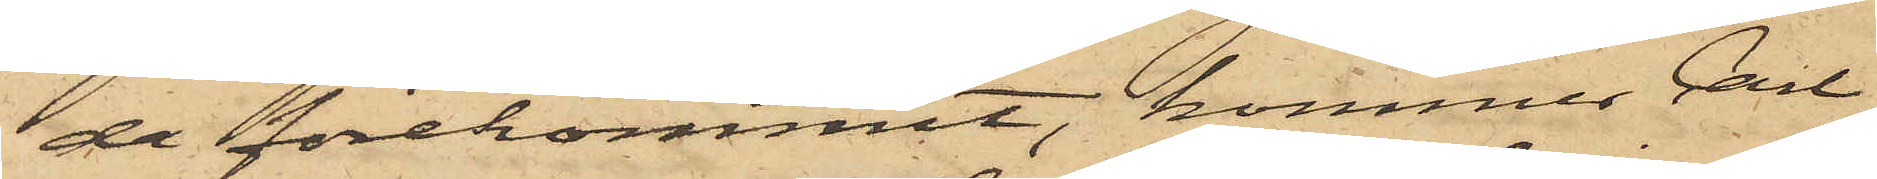de förekommit, kommer Carl
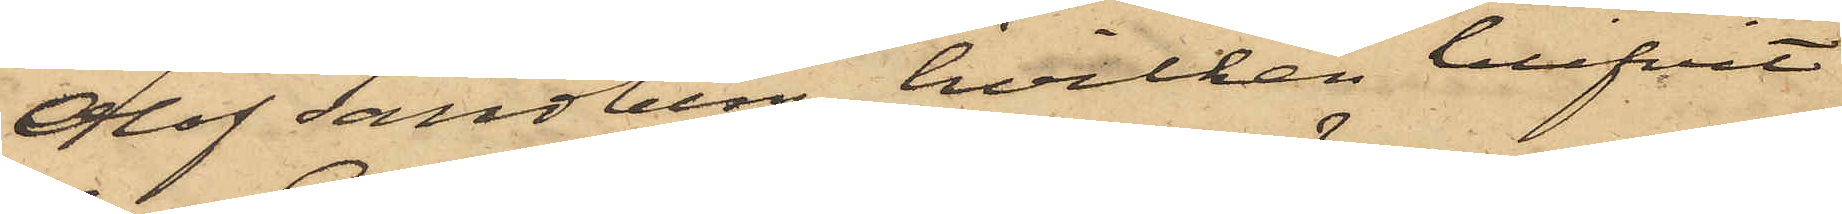Olof Sandberg, hvilken blifvit
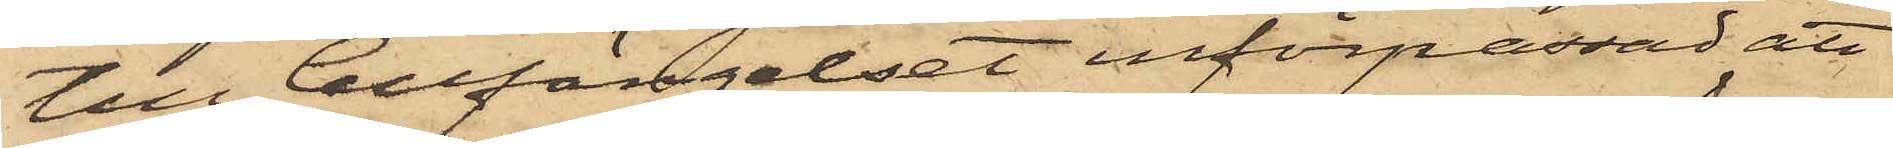till Cellfängelset införpassad, att
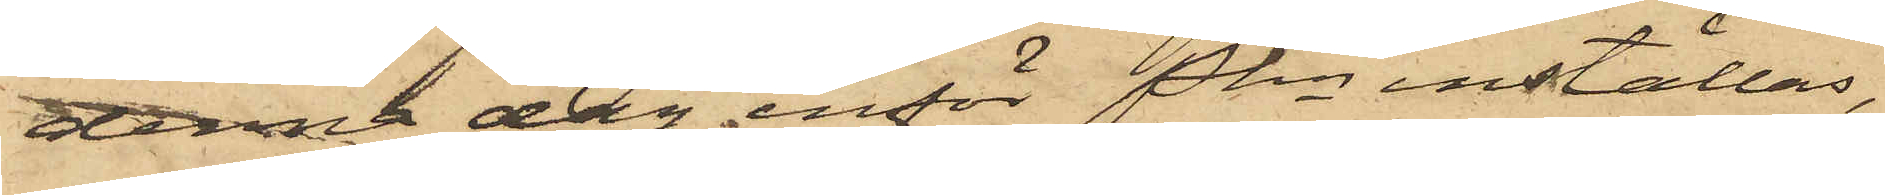denna dag inför Pkn inställas,
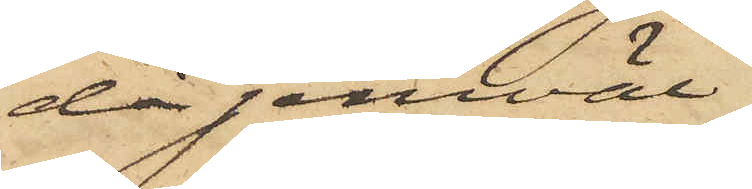då jemväl
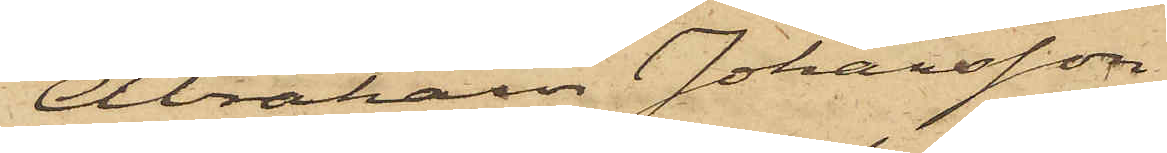Abraham Johansson
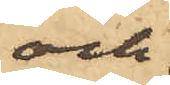och
